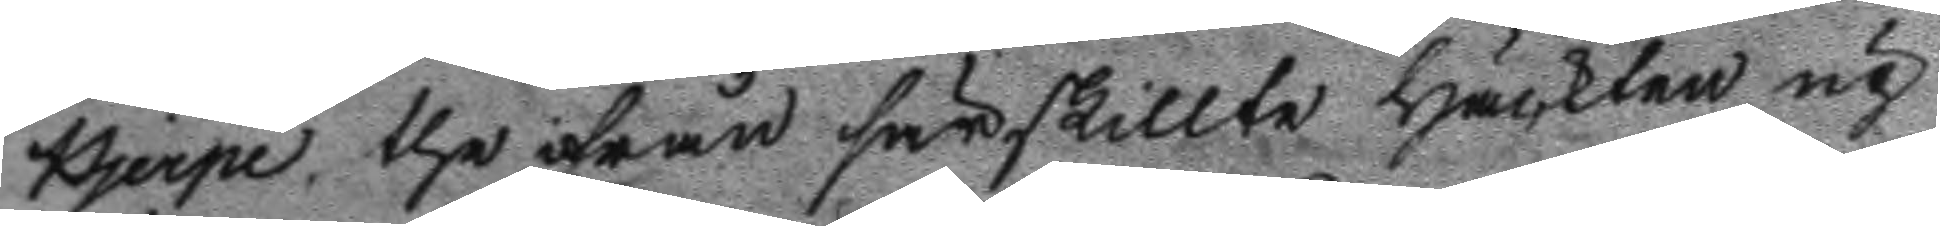Hjerpe, the ifrån särskillte häckten up
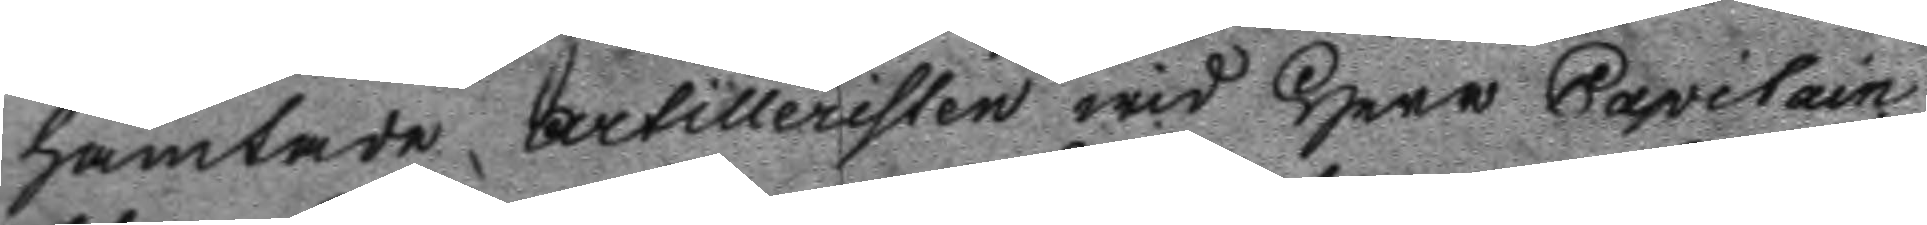hämtade artilleristen wid Herr Capitain
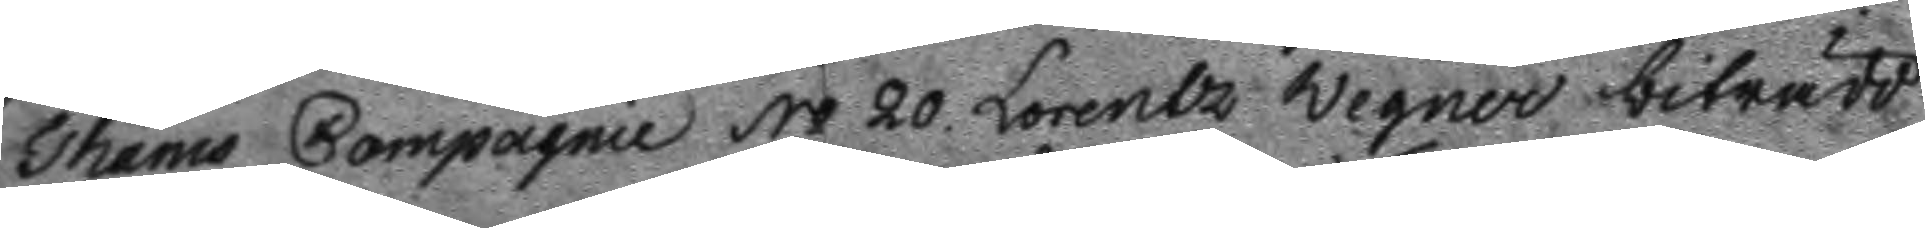Thams Compagnie No 20 Lorentz Wegner biträdd 
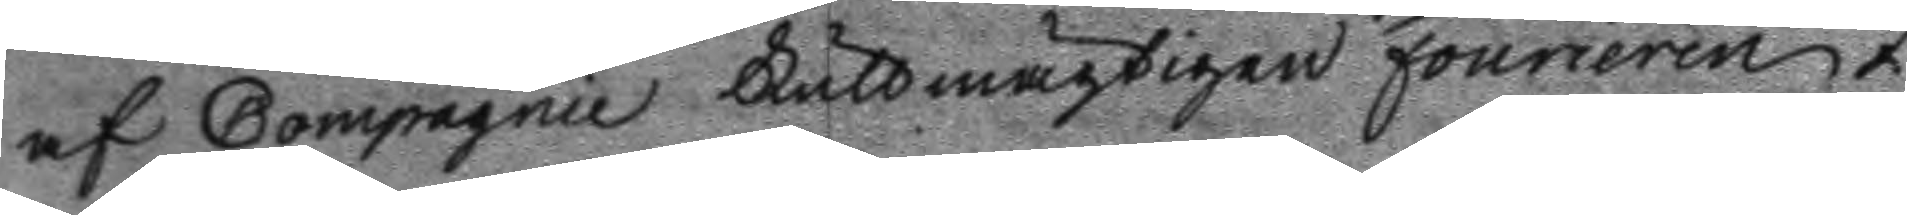af Compagnie Fullmägtigen Fourieren Z
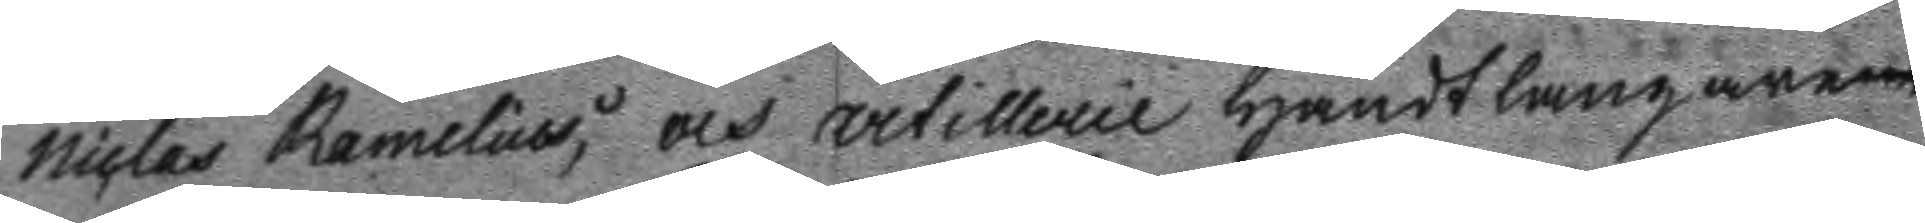Niclas Ramelius; och artillerie Handtlangarens
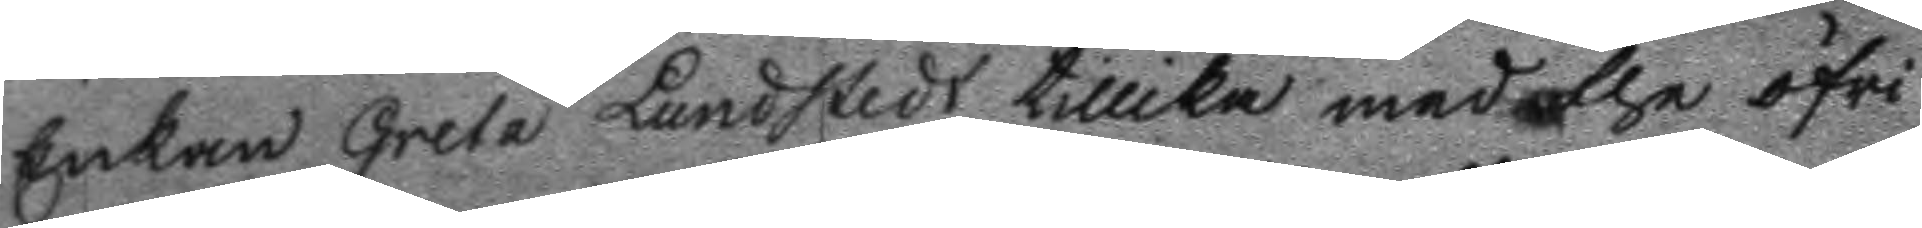Enkan Greta Lundstedt tillika med the öfri¬
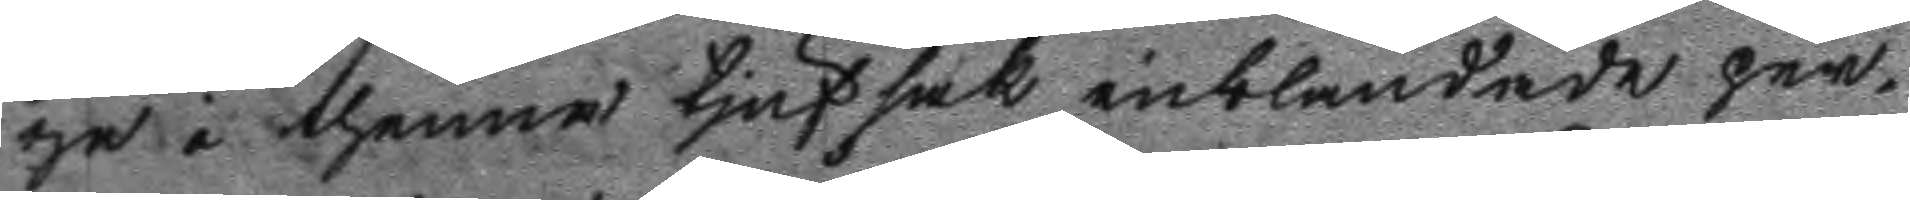ge i thenne tjufsak inblandade per¬
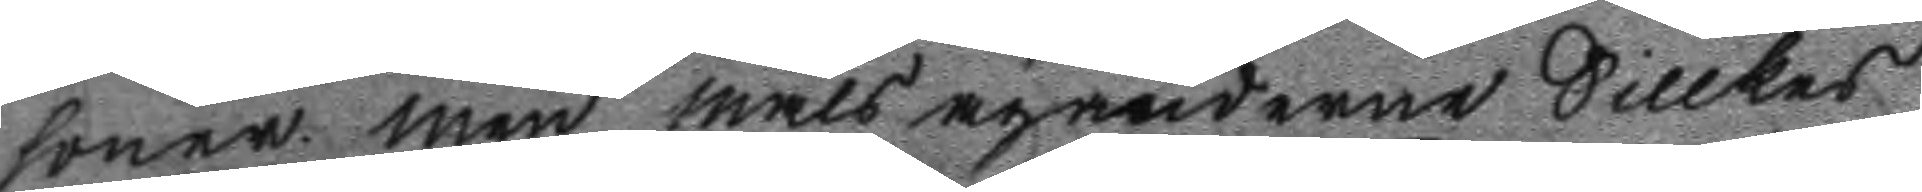soner, men måls äganderne Sillkes
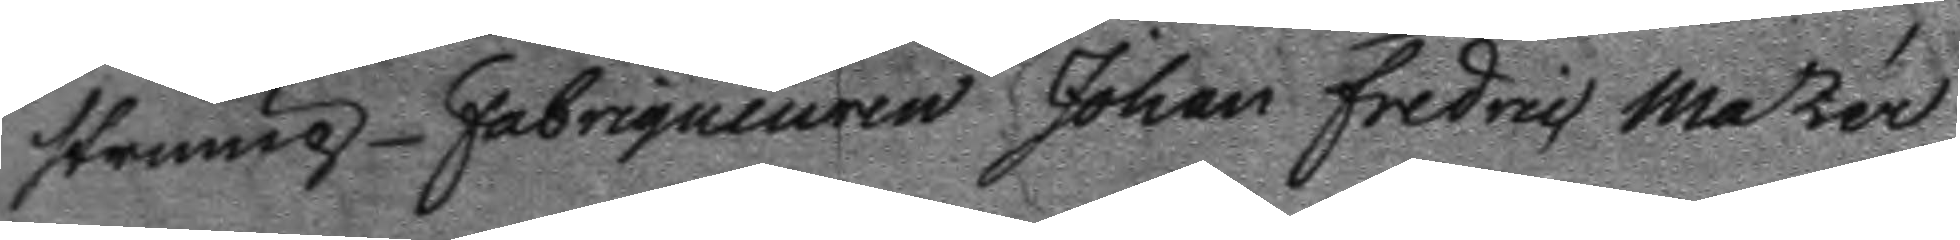strump-Fabriqueuren Johan Fredric Mastér
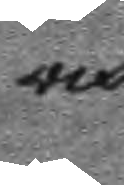och
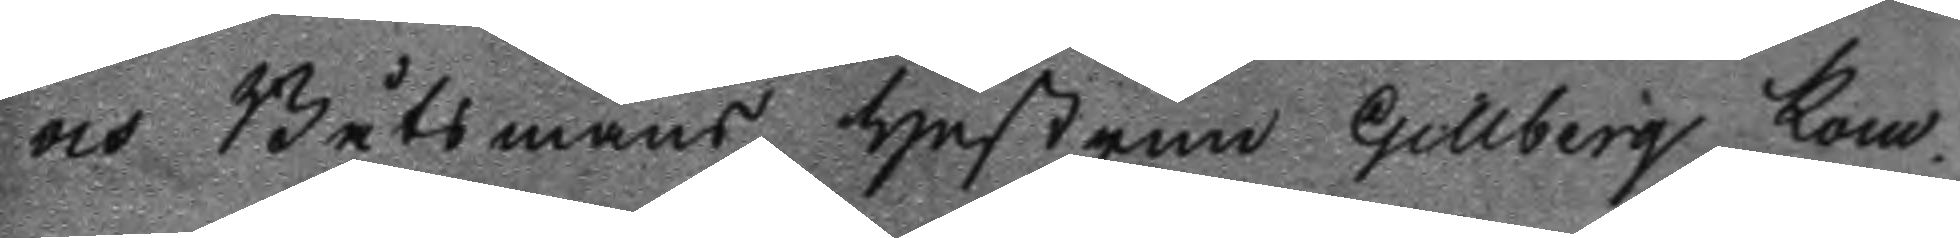och Båtsmans hustrun Gillberg kom¬
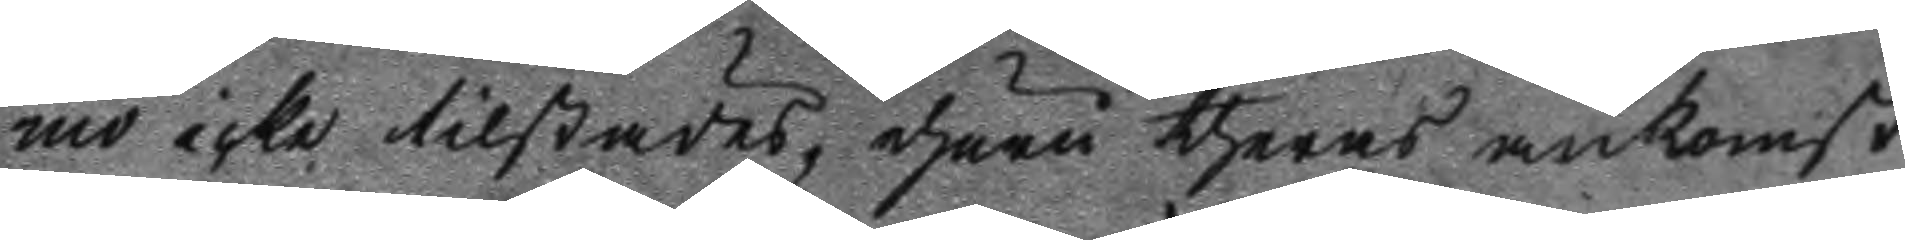mo icke tilstädes, ehuru theras ankomst
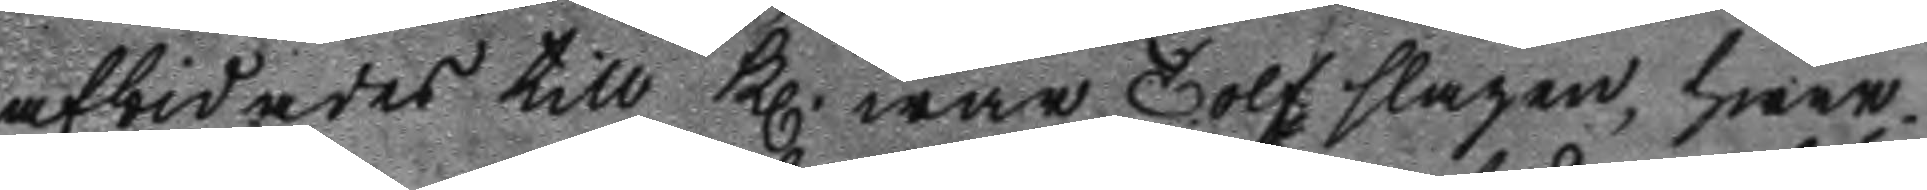afbidades till kl.: war Tolf slagen, hwar¬ 
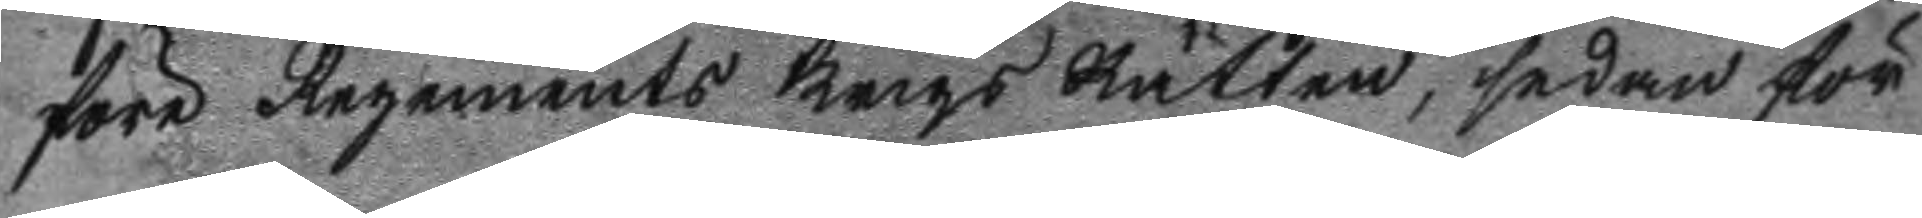före Regements Krigs Rätten, sedan för¬
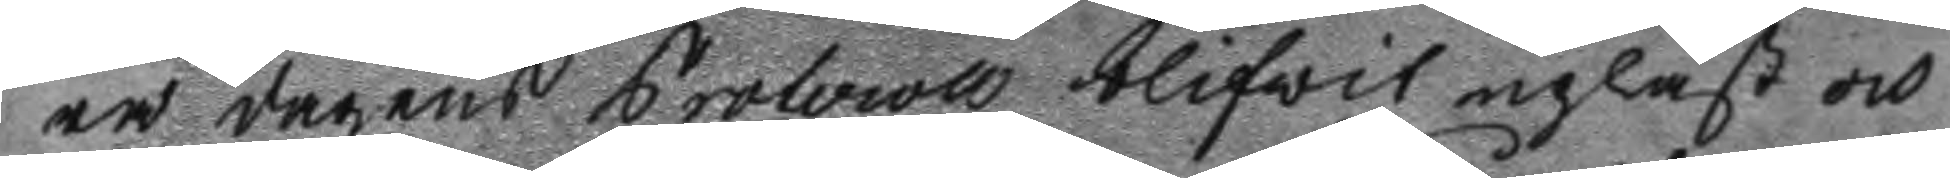ra dagens Protocoll blifwit upläst och
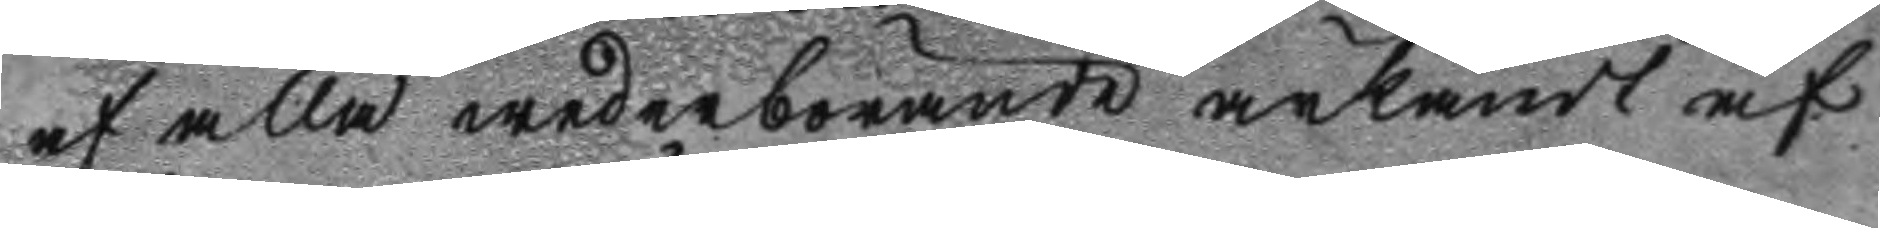af alla wederbörande ärkändt af
